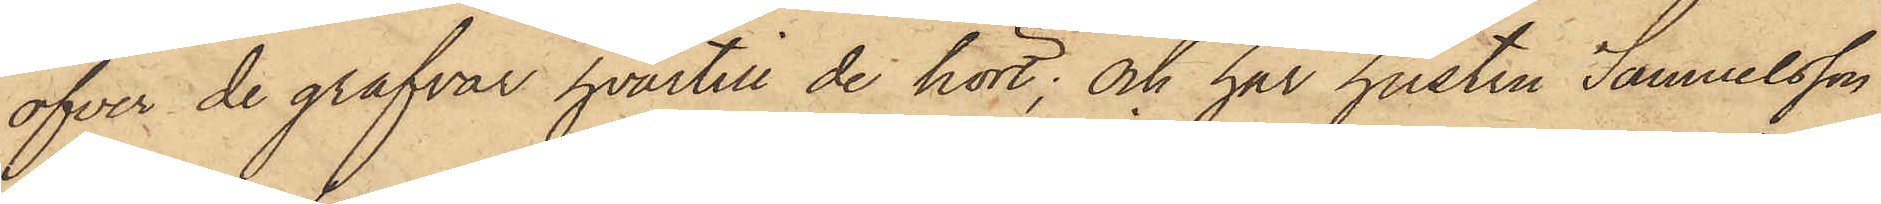öfver de grafvar hvartill de hört; och har hustru Samuelsson
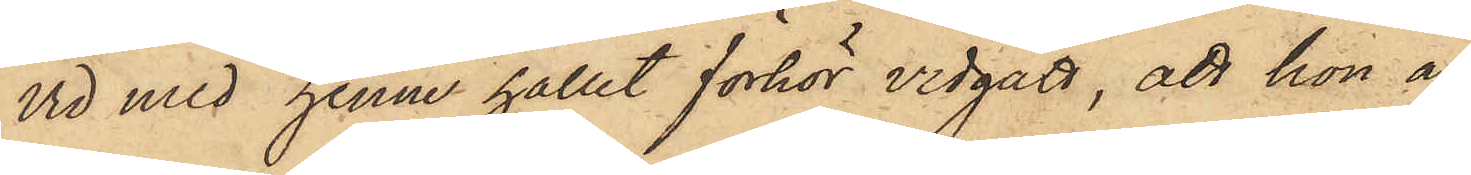vid med henne hållit förhör vidgått, att hon å
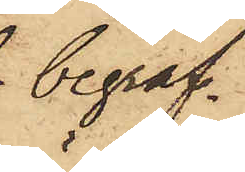begraf¬
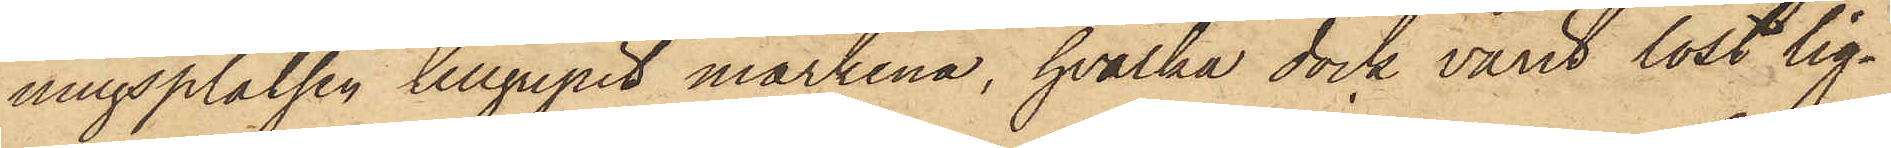ningsplatsen tillgripit märkena, hvilka dock varit löst lig¬
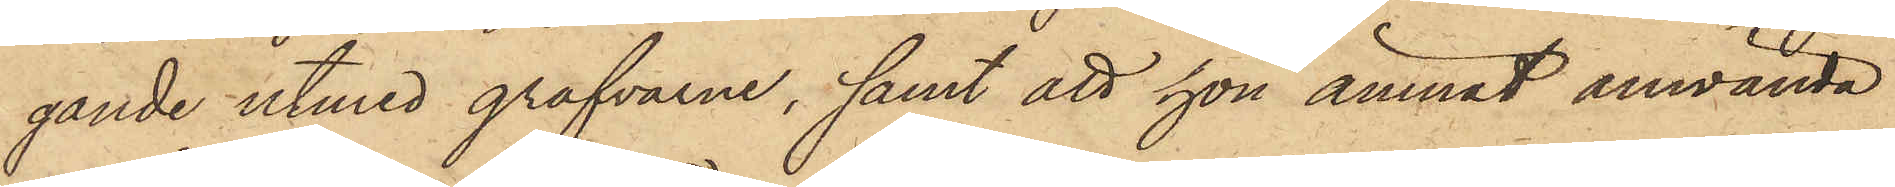gande utmed grafvarne, samt att hon ämnat använda
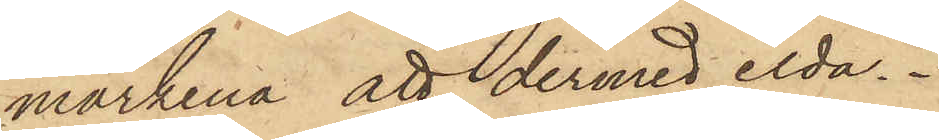märkena att dermed elda.
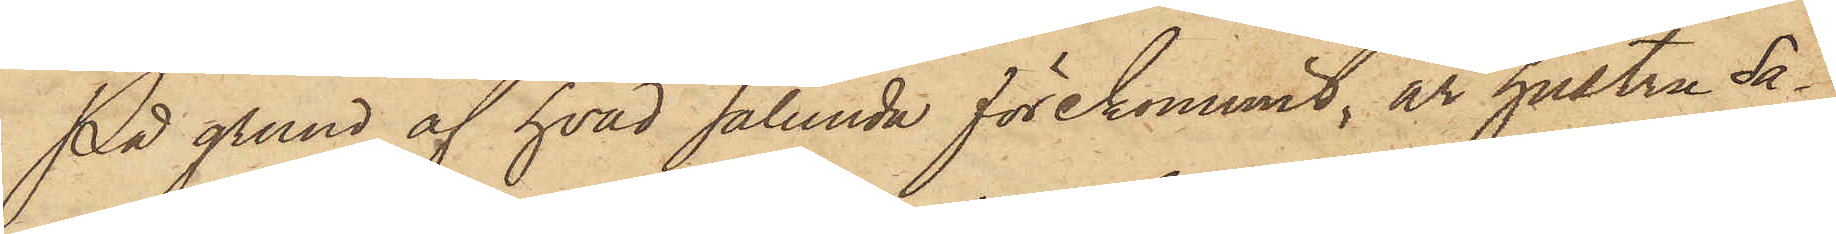På grund af hvad sålunda förekommit, är hustru Sa¬
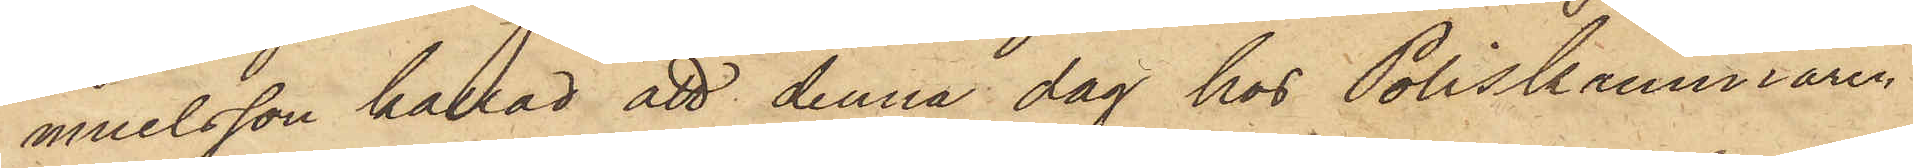muelsson kallad att denna dag hos Poliskammaren
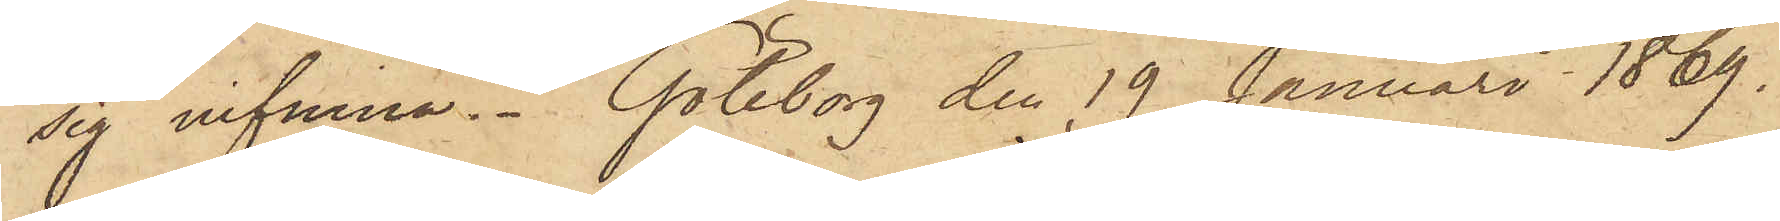sig infinna. Göteborg den 19 Januari 1869.
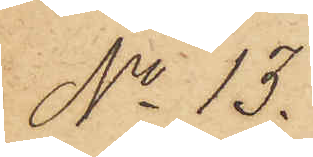No 13.
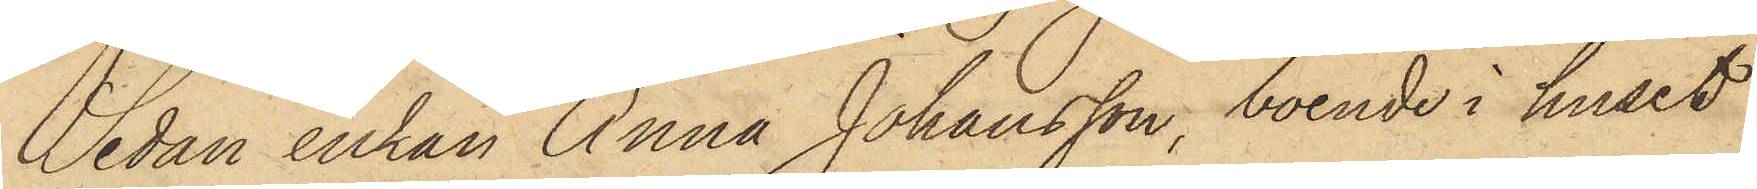Sedan enkan Anna Johansson, boende i huset
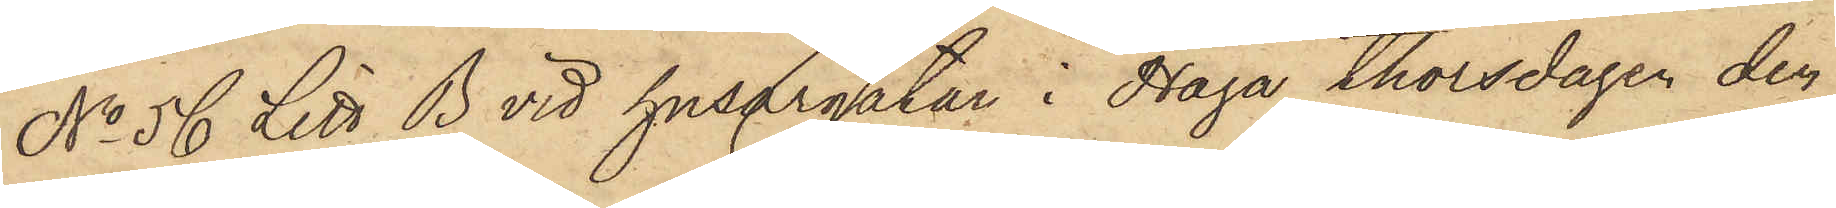No 56 Litt B vid husargatan i Haga thorsdagen den
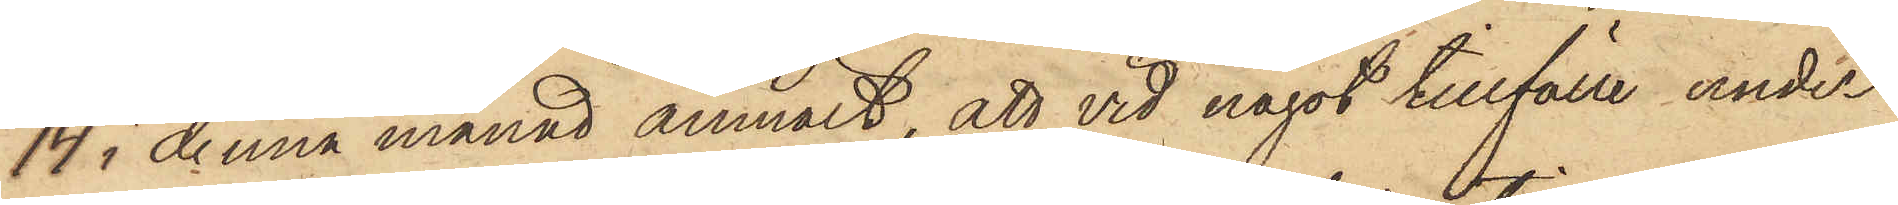14 i denna månad anmält, att vid något tillfälle under
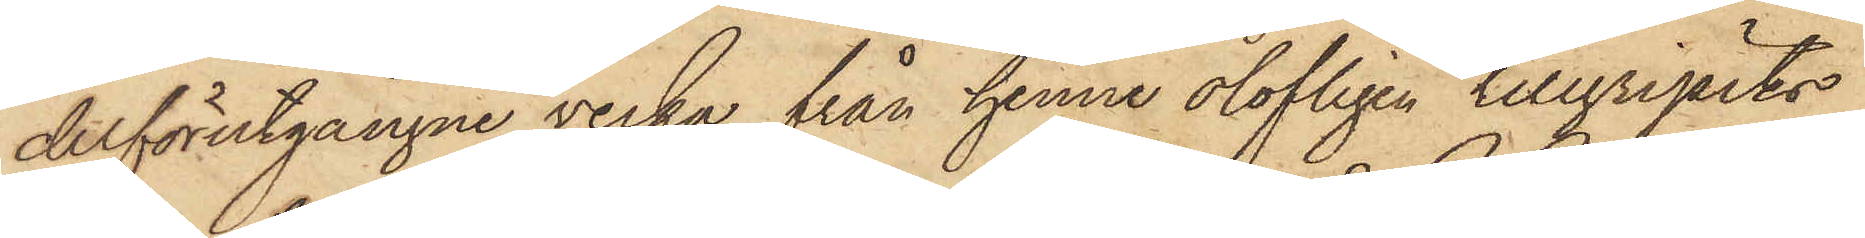derförutgångne vecka från henne olofligen tillgripits
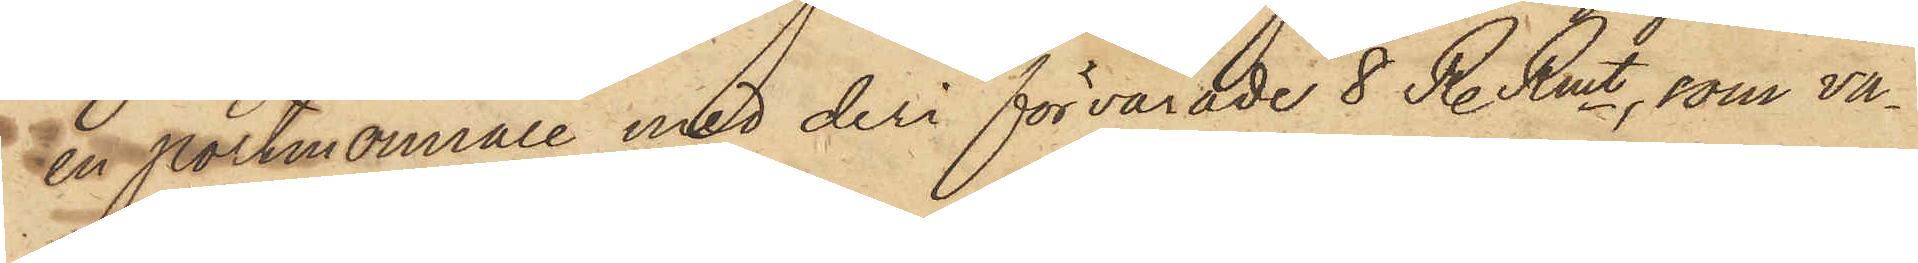en portmonnaie med deri förvarade 8 R. Rmt, som va¬
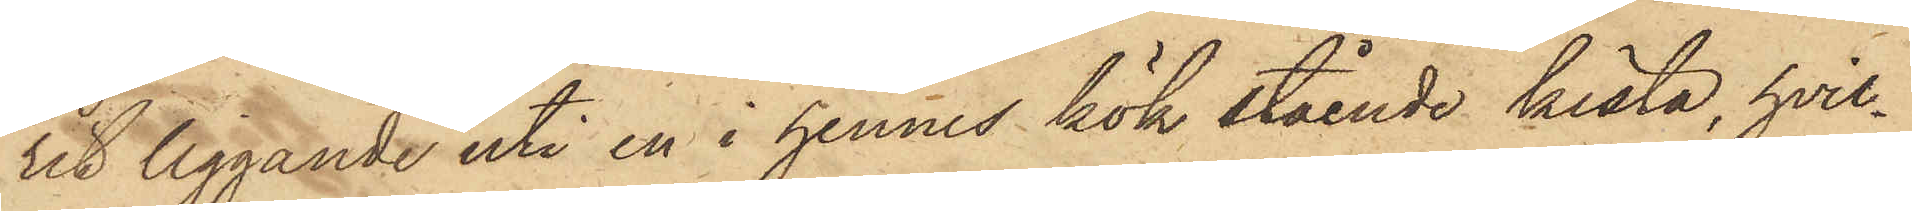rit liggande uti en i hennes kök stående kista, hvil¬
